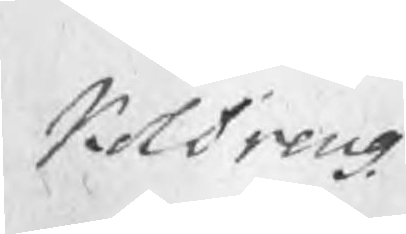KolDreng
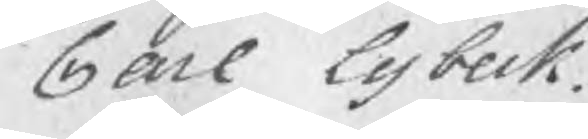Carl Lybeck.
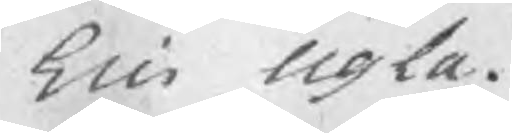Eric Ugla.
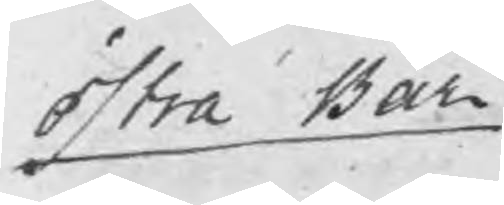Östra Bår
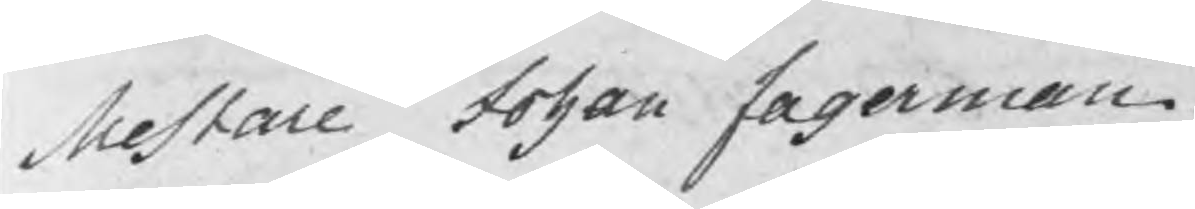Mestare Johan Fagerman.
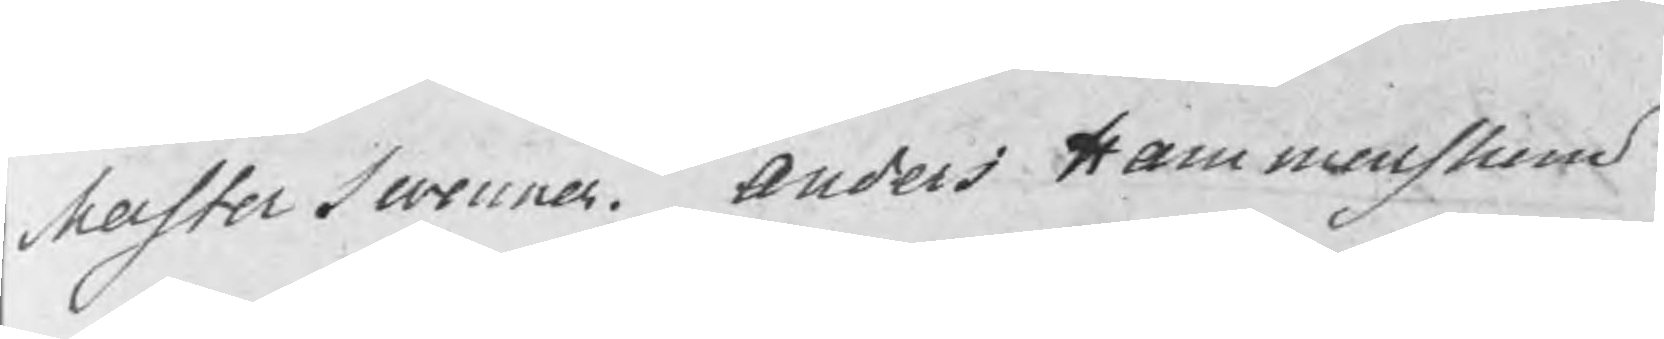Mester Swenner Anders Hammarstrom
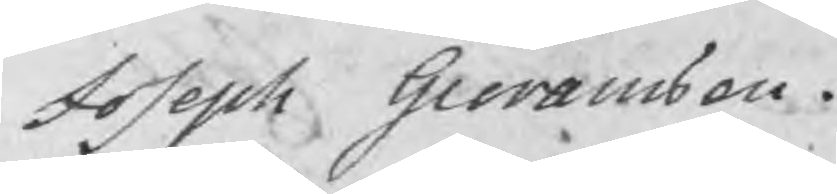Joseph Goransson.
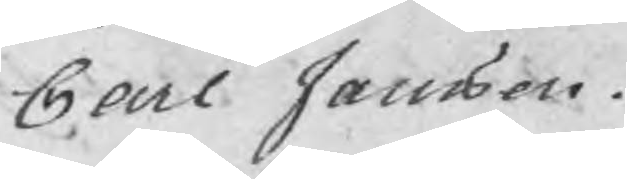Carl Jansson.
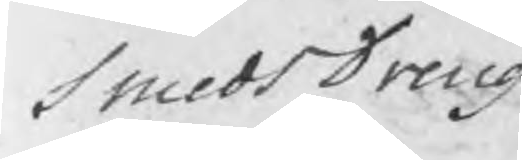SmedsDreng
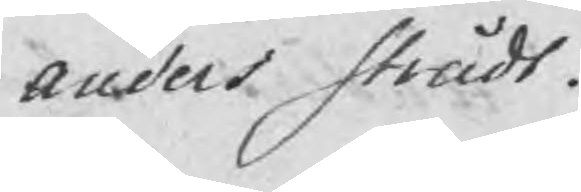Anders Strådt.
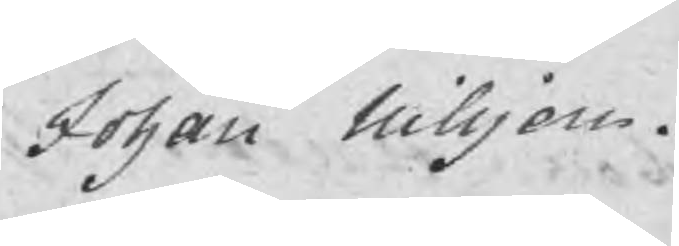Johan Nilsson.
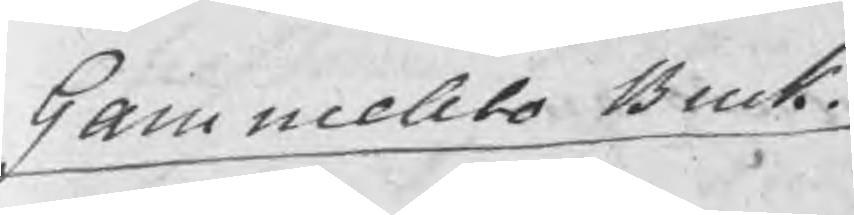Gammelbo Bruk
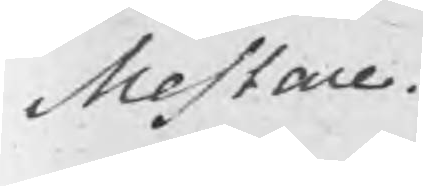Mestare.
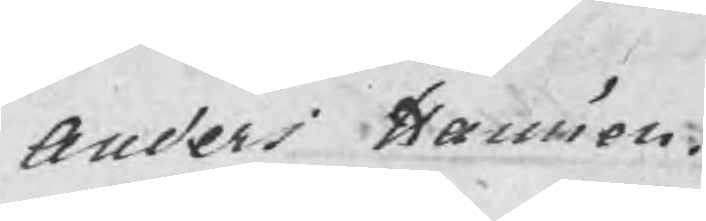Anders Hansson.
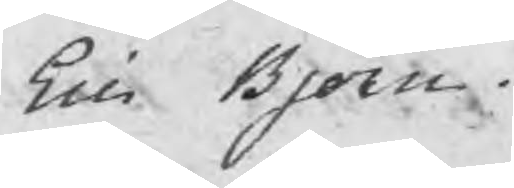Eric Björn.
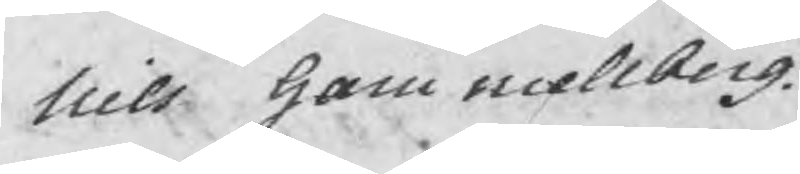Nils Gammellberg
